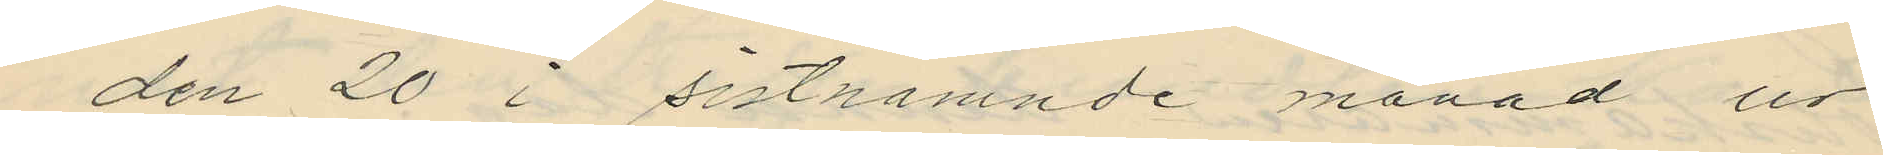den 20 i sistnämnde månad ur
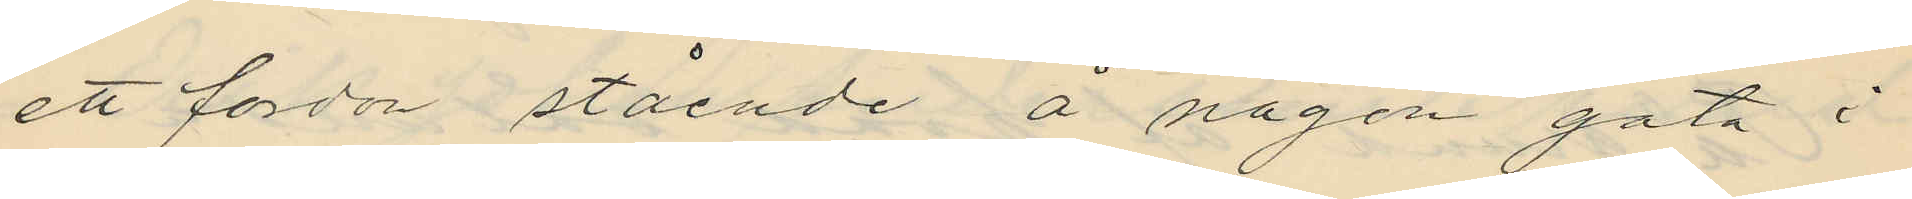ett fordon stående å någon gata i
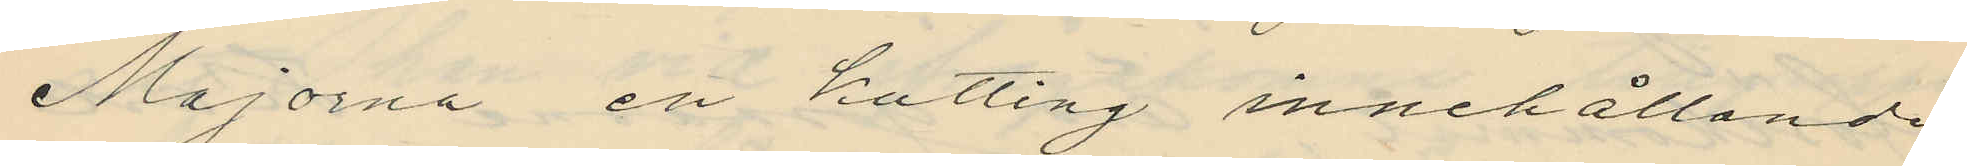Majorna ett kutting innehållande
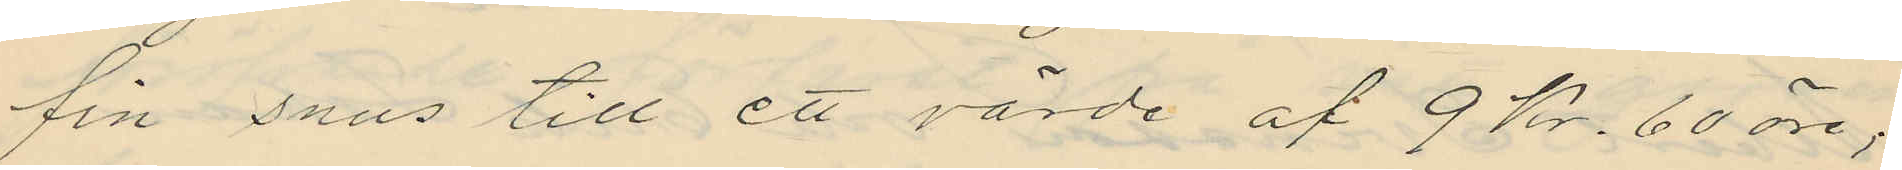fin snus till ett värde af 9 Kr. 60 öre;
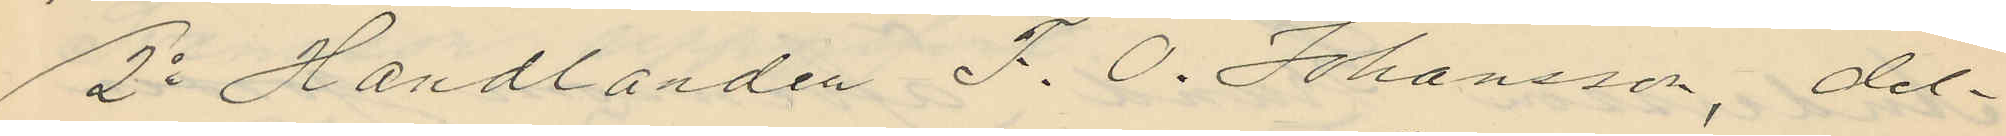2o Handlanden F. O. Johansson, del¬
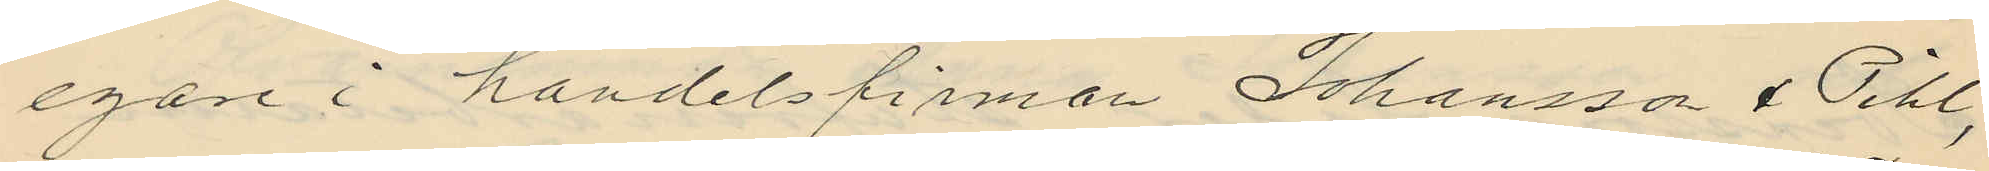egare i handelsfirman Johansson & Pihl,
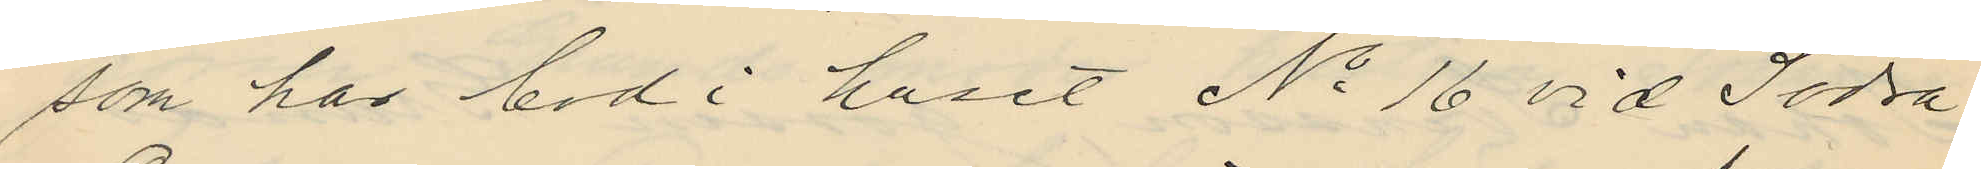som har bod i huset No 16 vid Södra
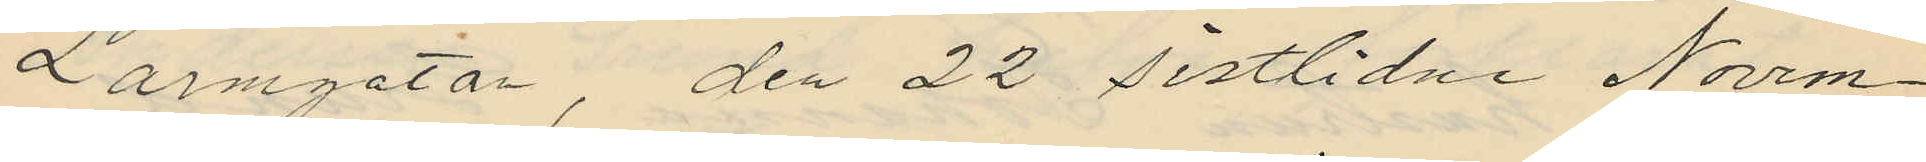Larmgatan, den 22 sistlidne Novem¬
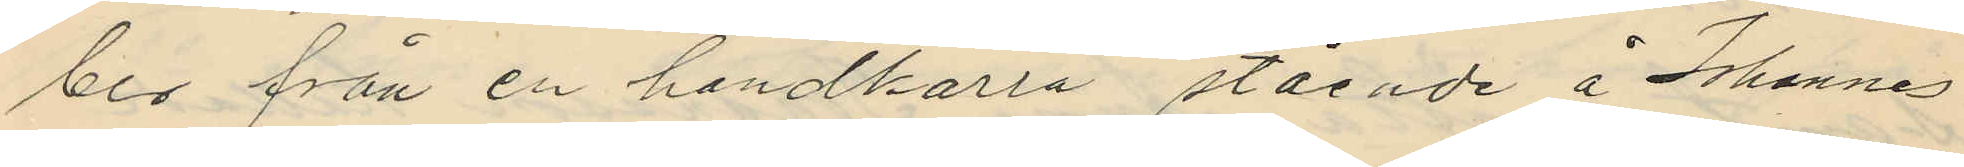ber från en handkärra stående å Johannes
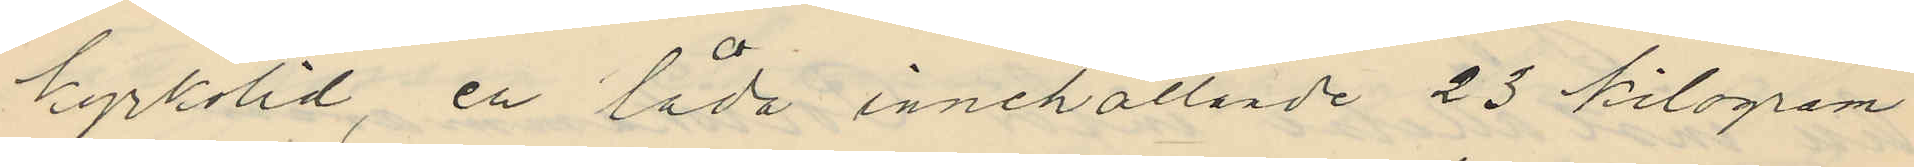kyrkolid, en låda innehållande 23 kilogram
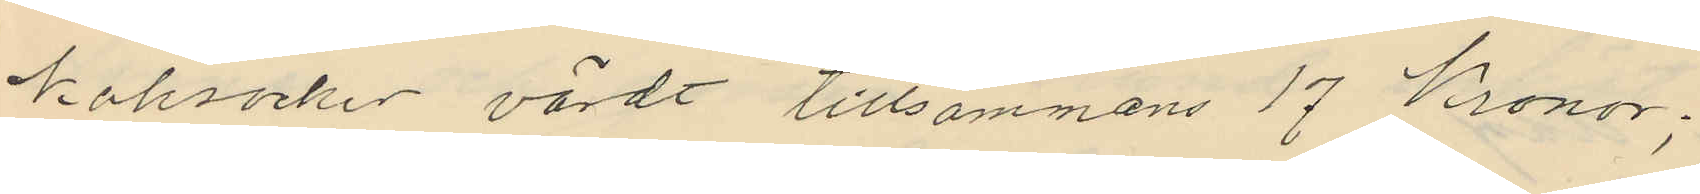koksocker värdt tillsammans 17 Kronor;
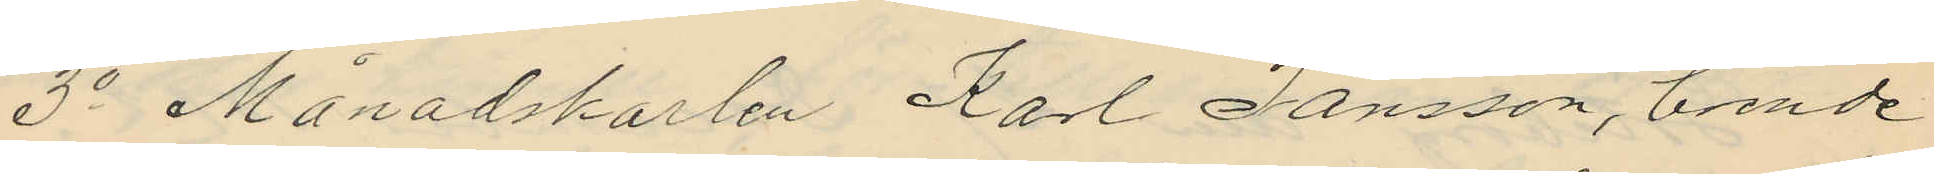3o Månadskarlen Karl Jansson, boende
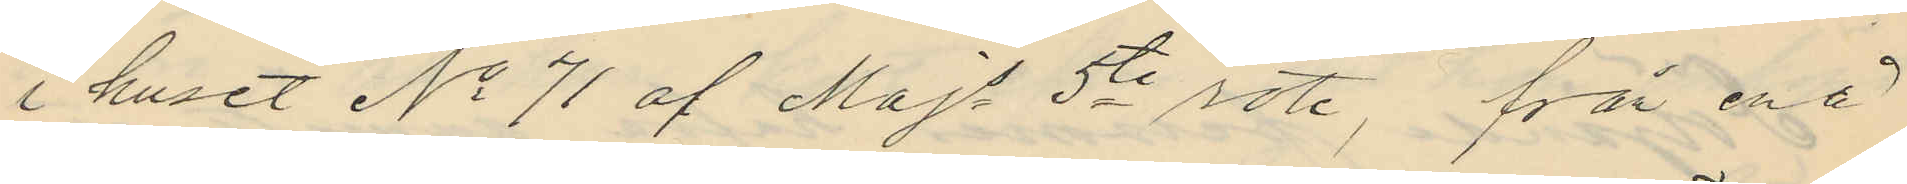i huset No 71 af Majs 5te rote, från en å
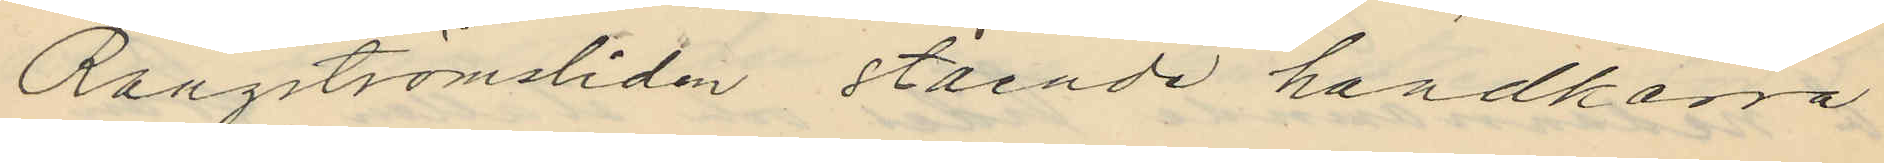Rangströmsliden stående handkärra
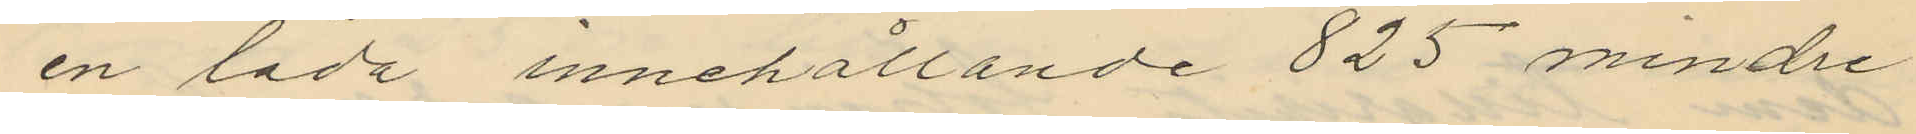en låda innehållande 825 mindre
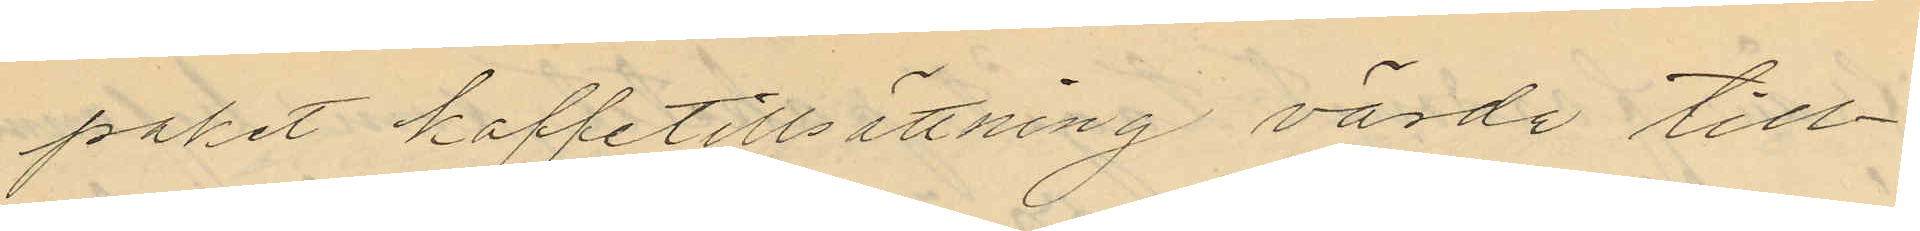paket kaffetillsättning värde till¬
